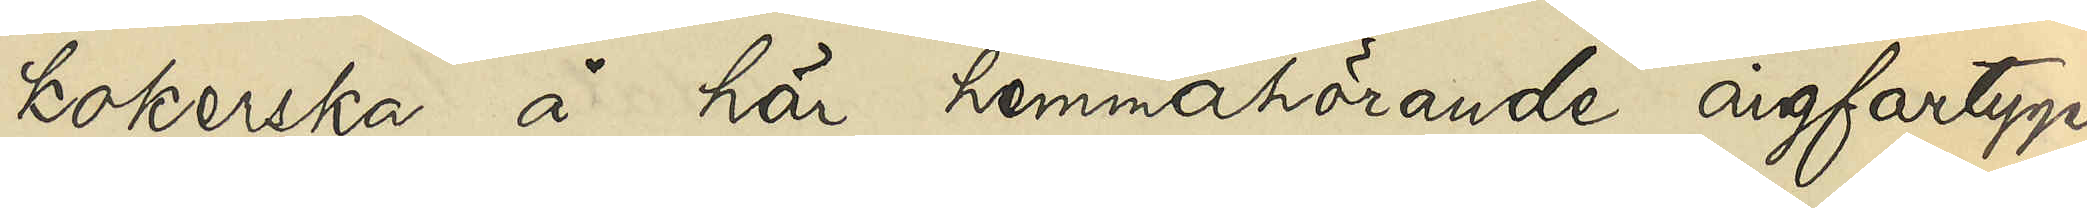kokerska å här hemmahörande ångfartyget
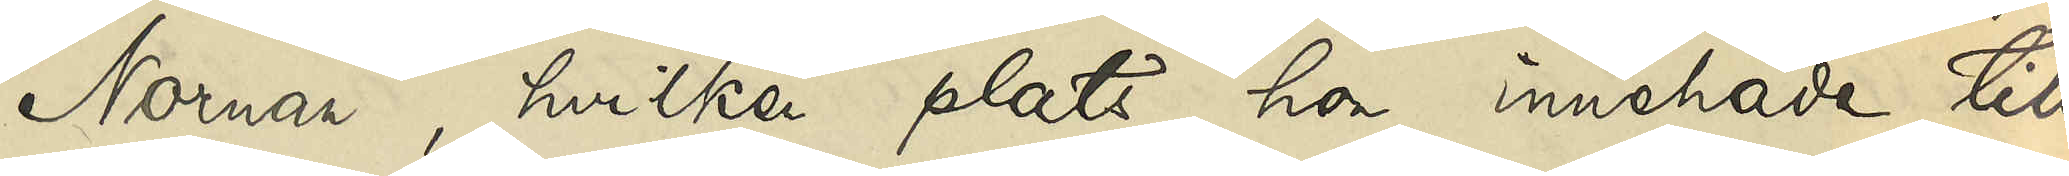"Nornan", hvilken plats hon innehade till
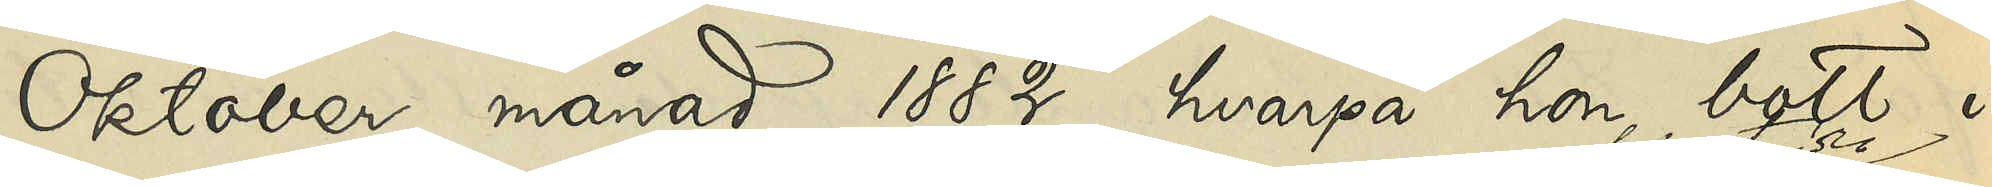Oktober månad 1882, hvarpå hon bott i
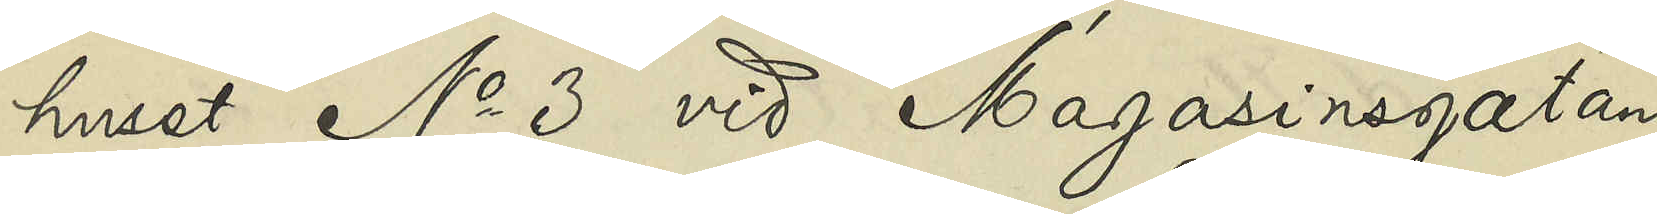huset No 3 vid Magasinsgatan
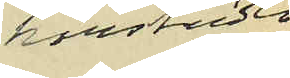härstädes
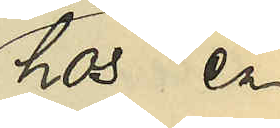hos en
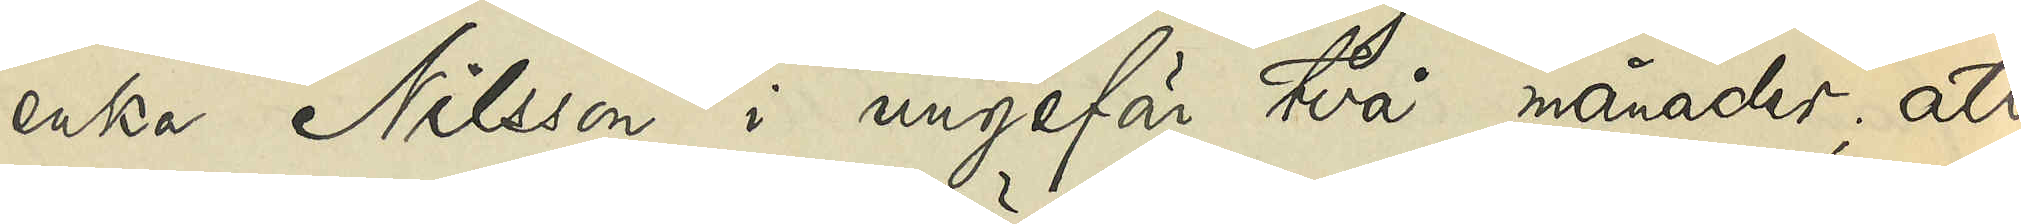enka Nilsson i ungefär två månader; att
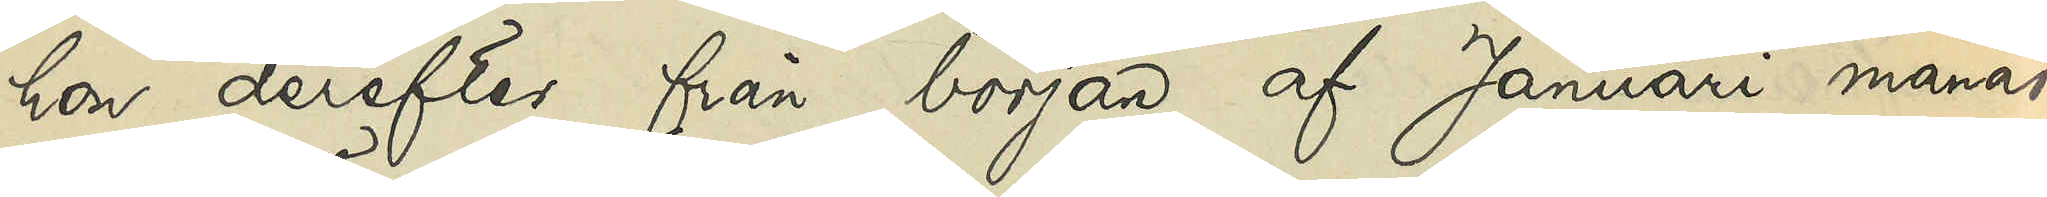hon derefter från början af Januari månad
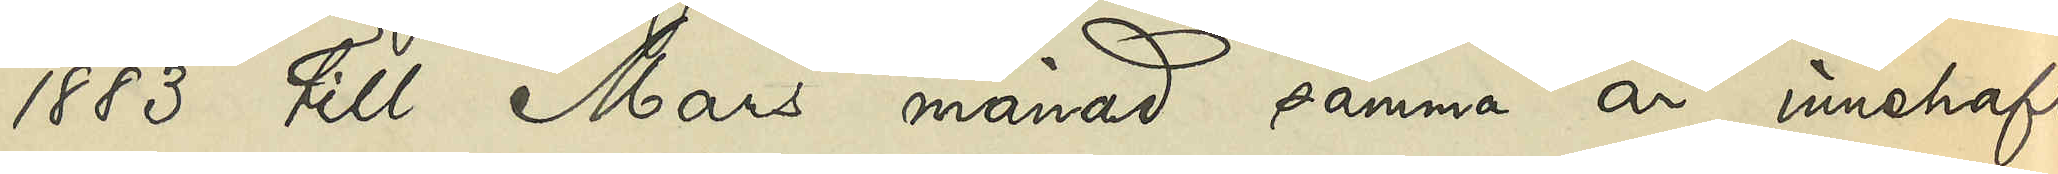1883 till Mars månad samma år innehaft
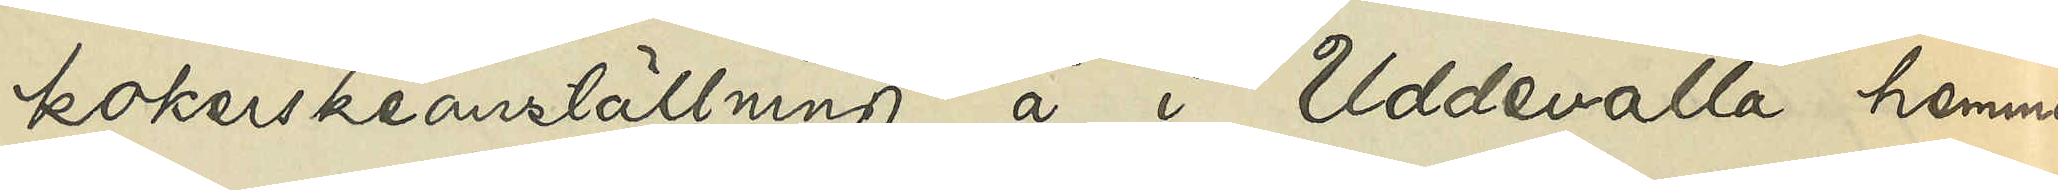kokerskeanställning å i Uddevalla hemma¬
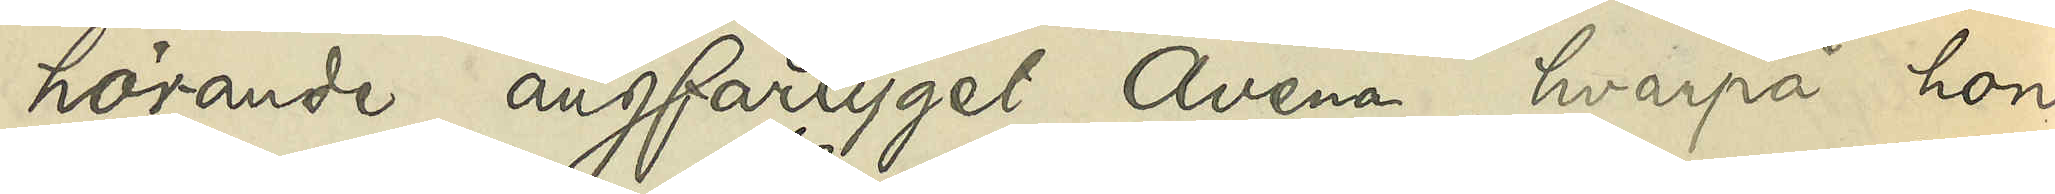hörande ångfartyget "Avena", hvarpå hon
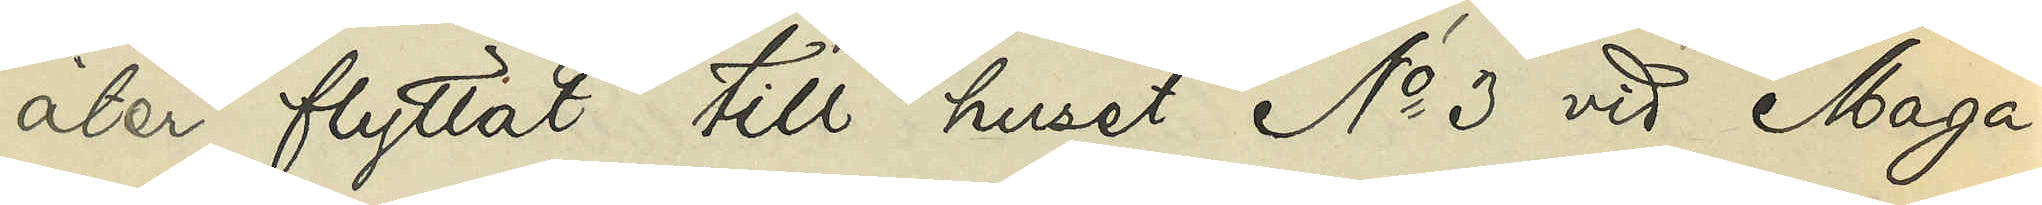åter flyttat till huset No 3 vid Maga¬
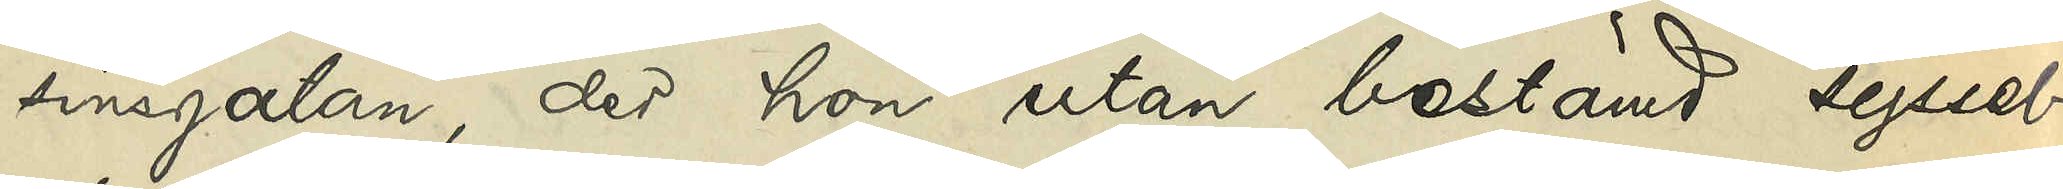sinsgatan, der hon utan bestämd syssel¬
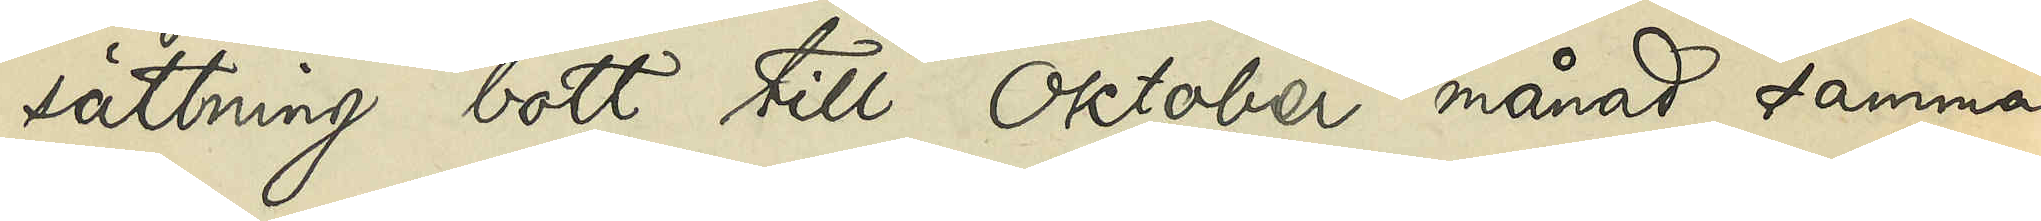sättning bott till Oktober månad samma
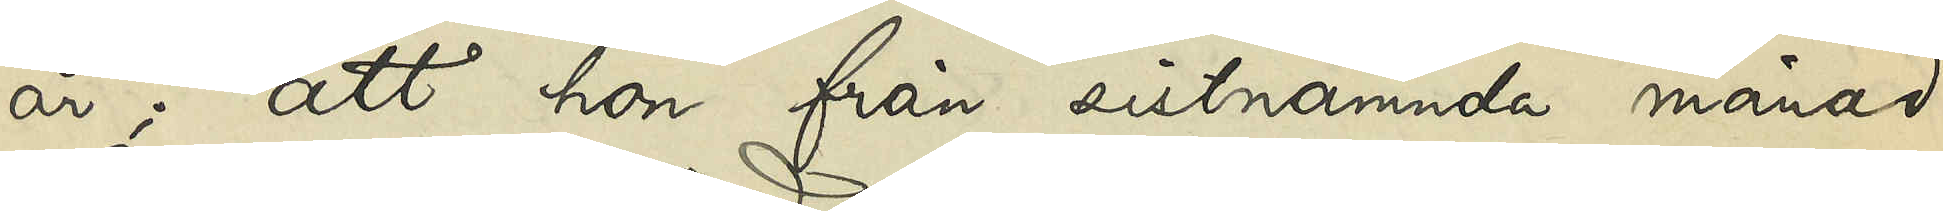år; att hon från sistnämnda månad
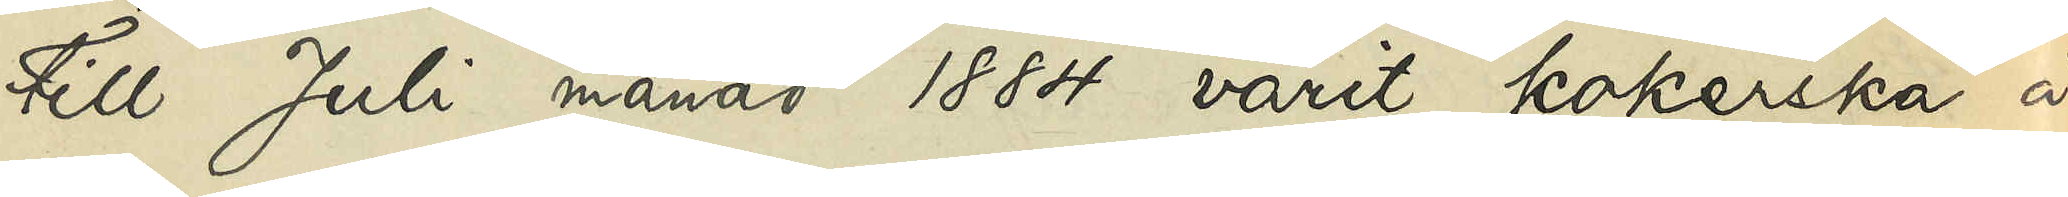till Juli månad 1884 varit kokerska å
